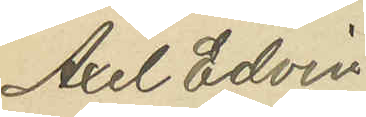Axel Edvin
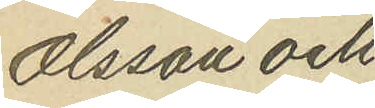Olsson och
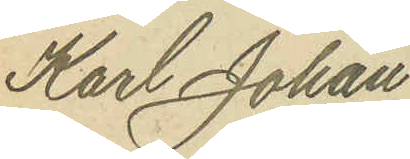Karl Johan
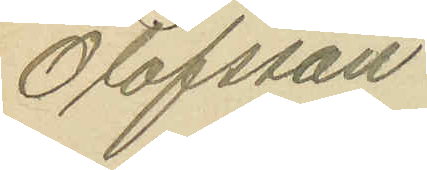Olofsson
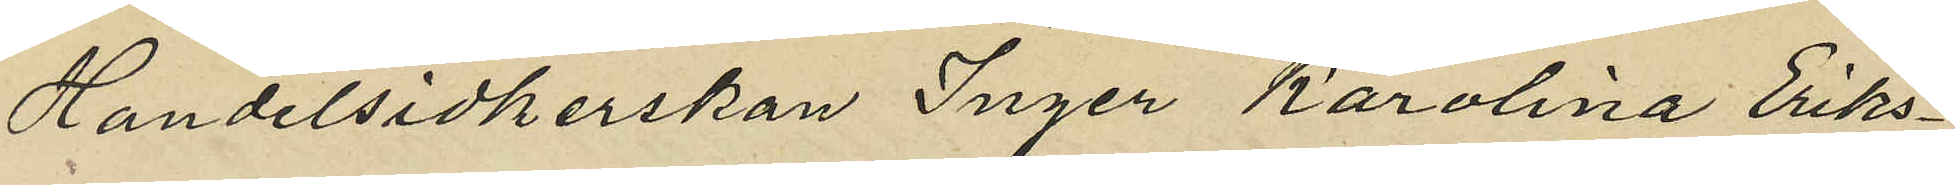Handelsidkerskan Inger Karolina Eriks¬
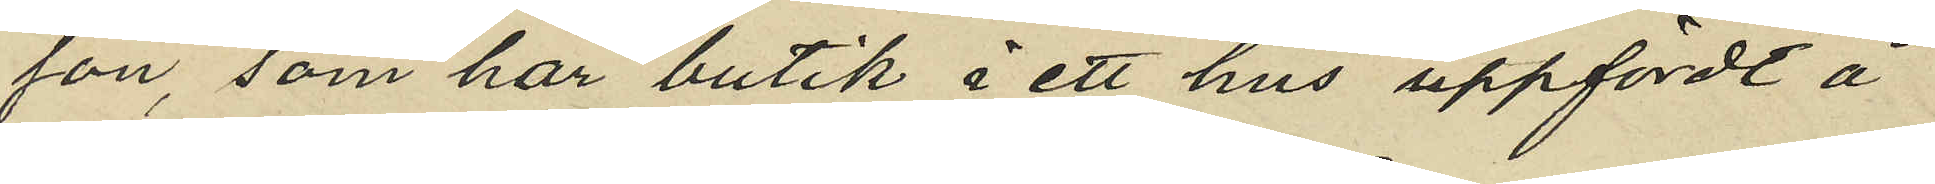son som har butik i ett hus uppfördt å
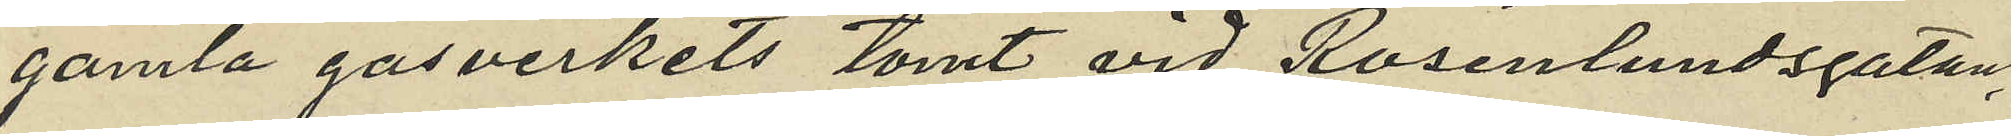gamla gasverkets tomt vid Rosenlundsgatan,
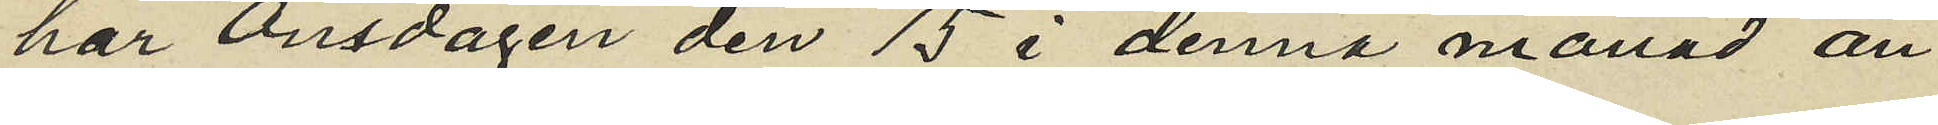har Onsdagen den 15 i denna månad an¬
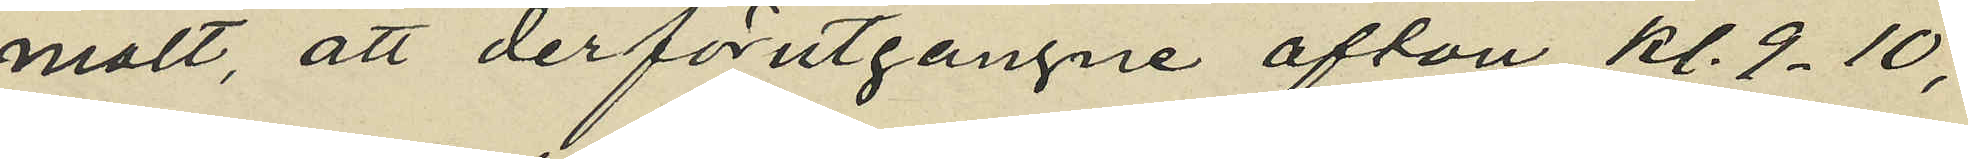mält, att derförutgångne afton kl. 9-10,
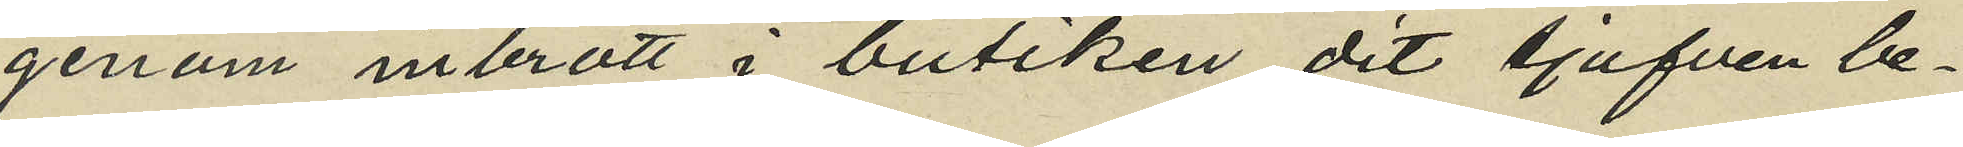genom inbrott i butiken dit tjufven be¬
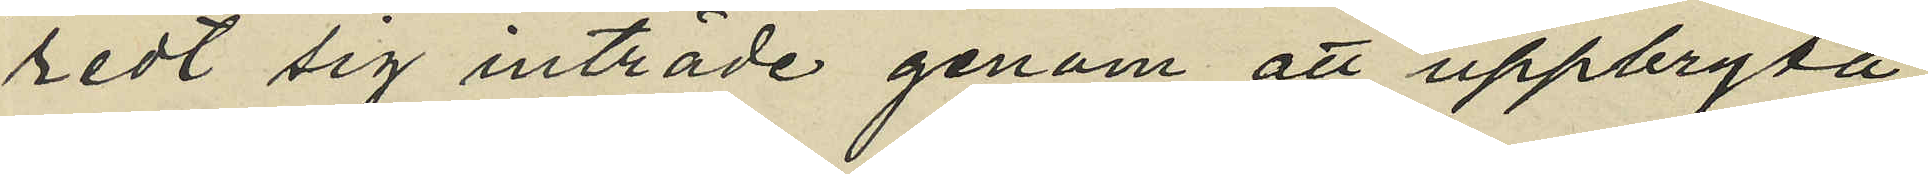redt sig inträde genom att uppbryta
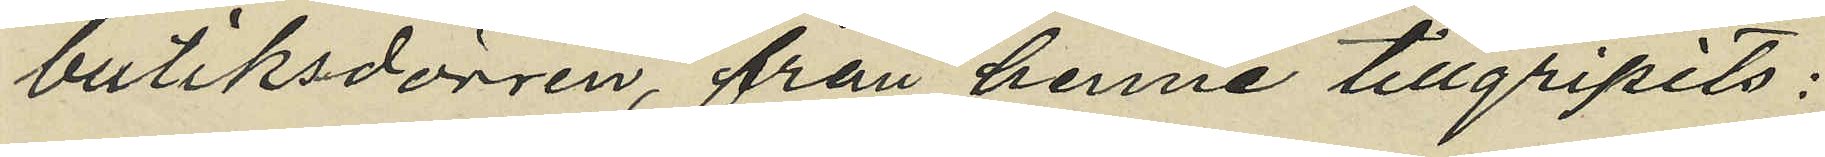butiksdörren, från henne tillgripits:
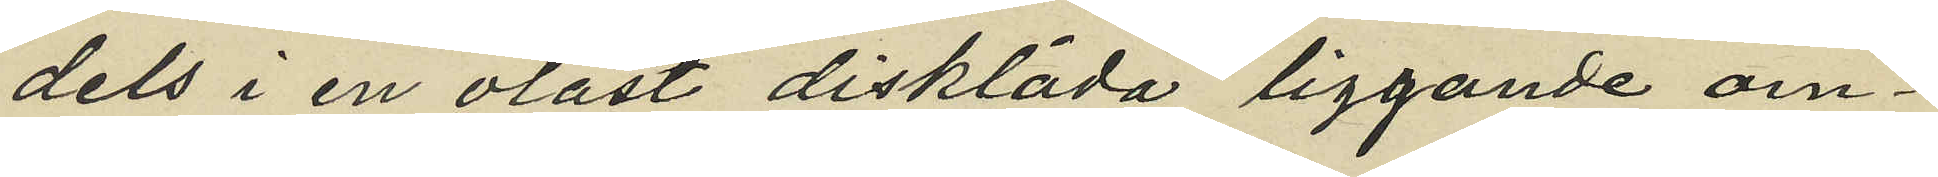dels i en olåst disklåda liggande om¬
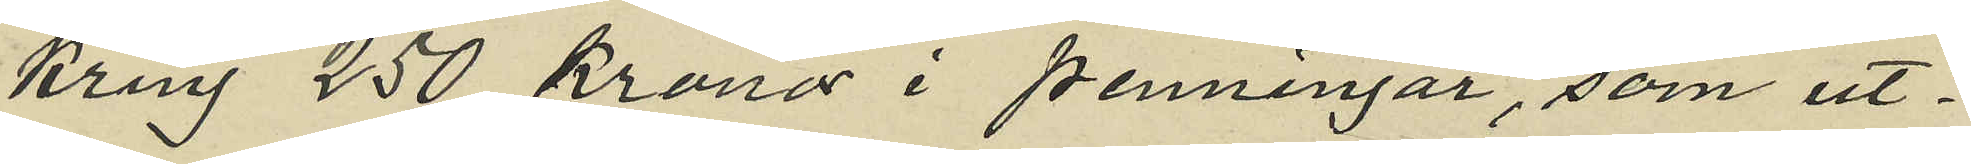kring 250 kronor i penningar, som ut¬
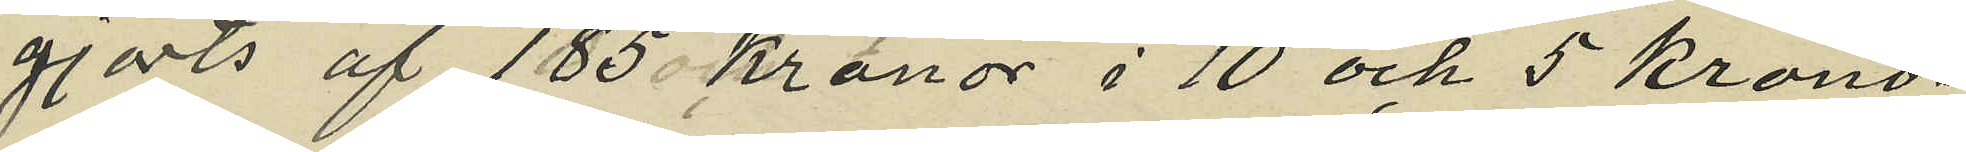gjorts af 185 kronor i 10 och 5 krono¬
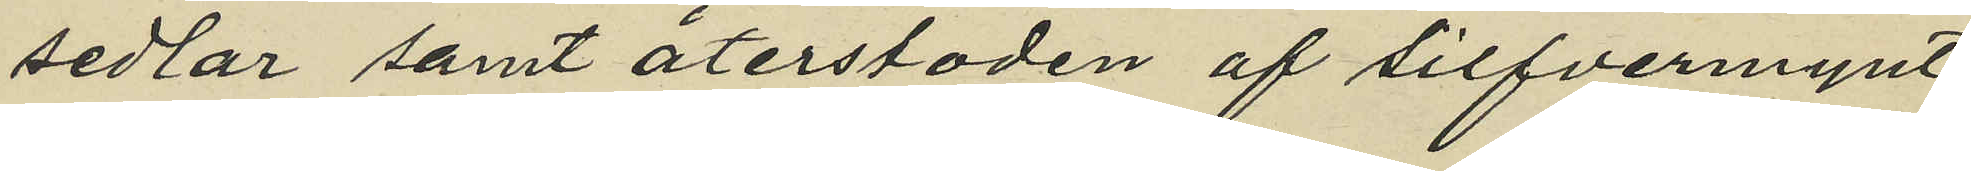sedlar samt återstoden af silfvermynt
